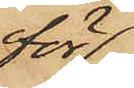för
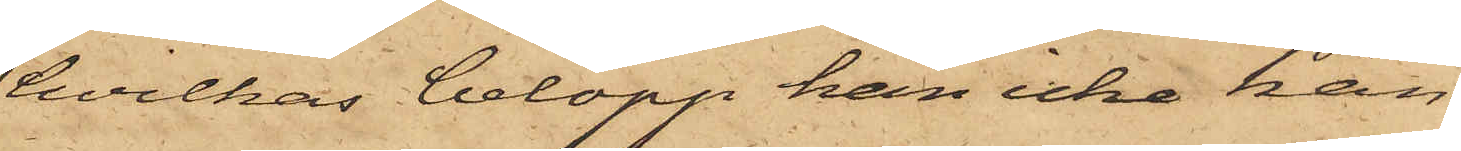hvilkas belopp han icke kan
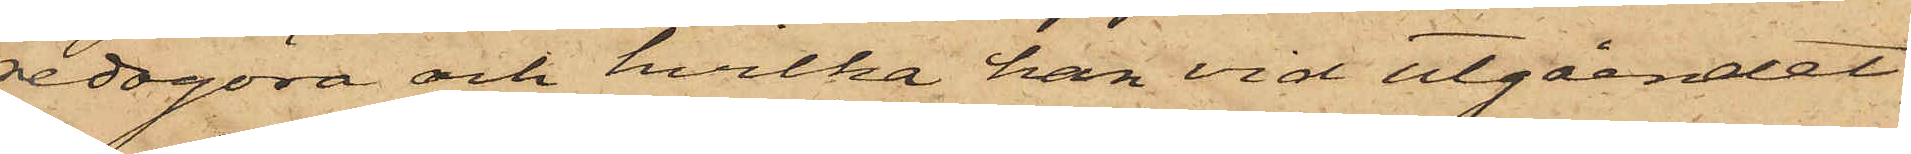redogöra och hvilka han vid utgåendet
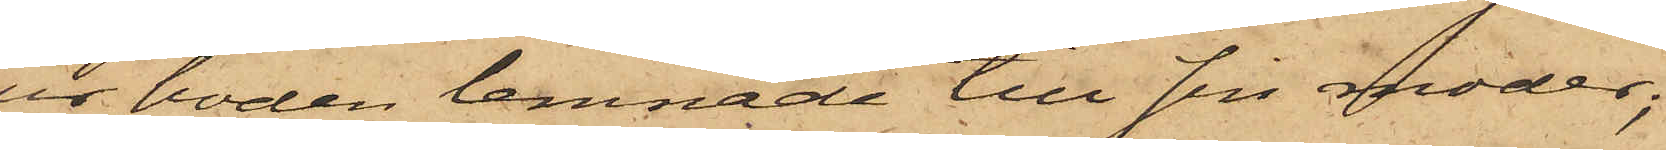ur boden lemnade till sin moder;
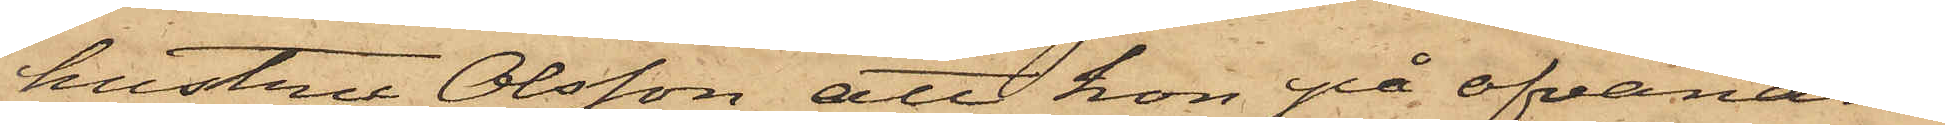hustru Olsson att hon på ofvanan¬
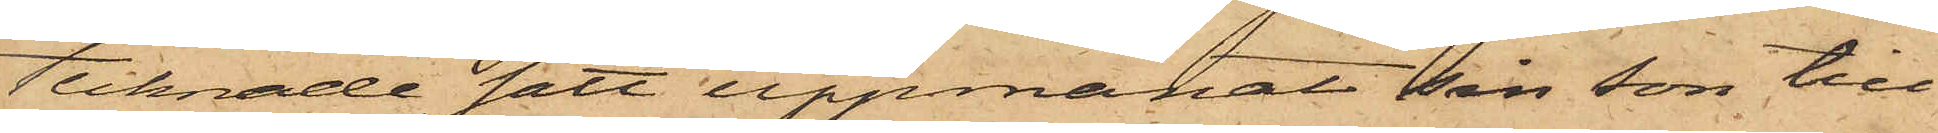tecknade sätt uppmanat sin son till
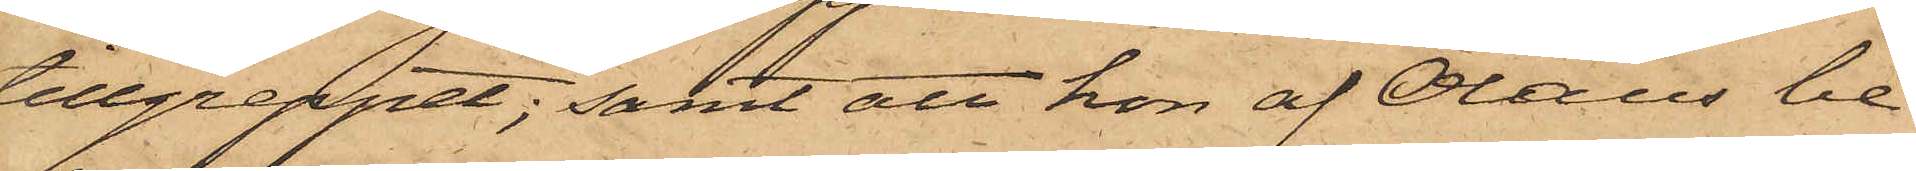tillgreppet; samt att hon af Olaus be¬
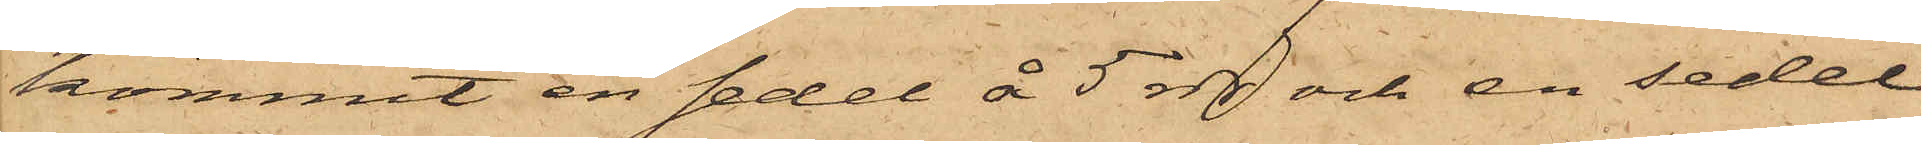kommit en sedel å 5 rdr och en sedel
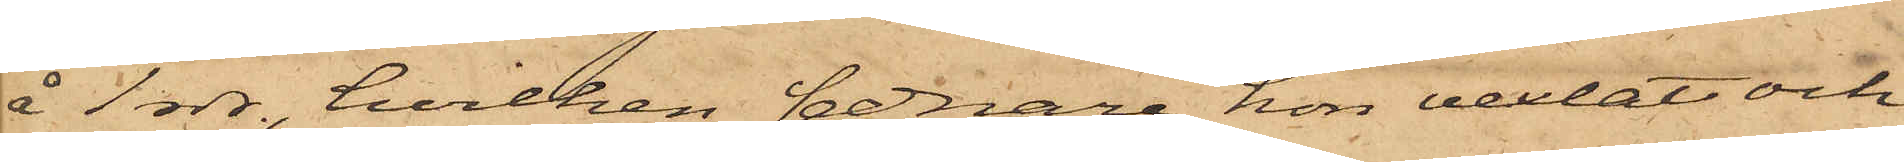å 1 rdr, hvilken sednare hon vexlat och
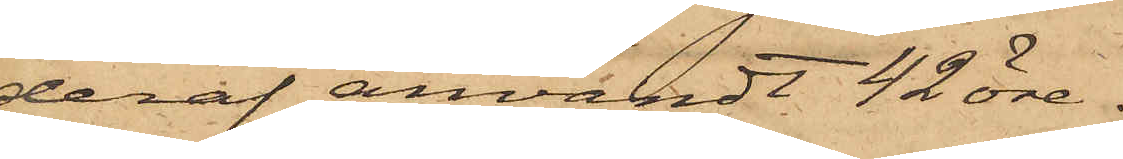deraf användt 42 öre.
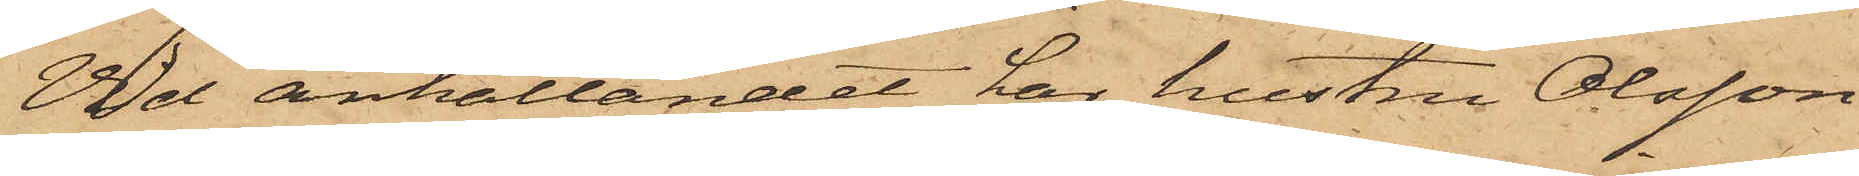Vid anhållandet har hustru Olsson
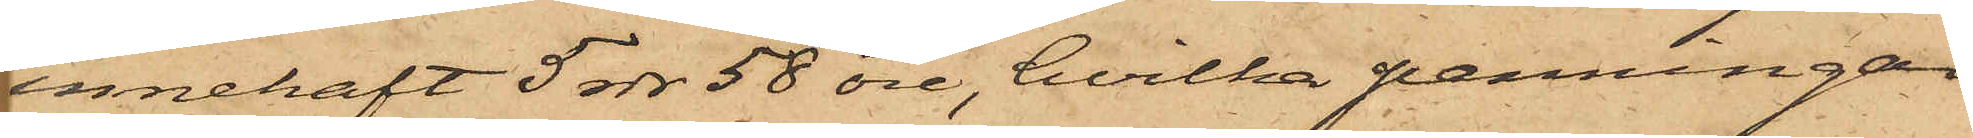innehaft 5 rdr 58 öre, hvilka penningar
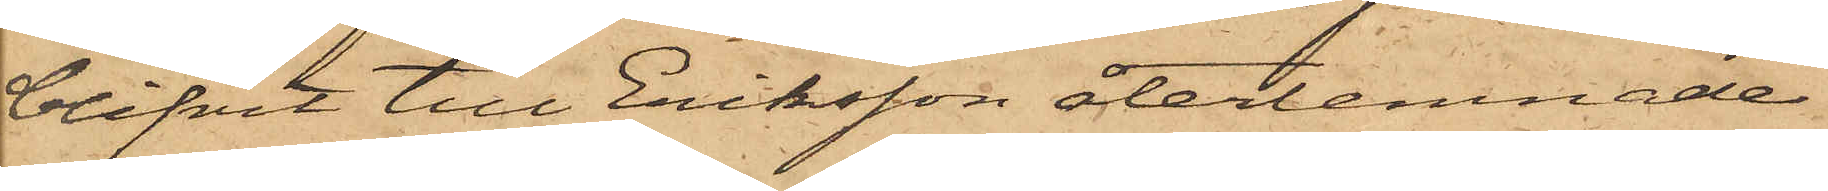blifvit till Eriksson återlemnade.
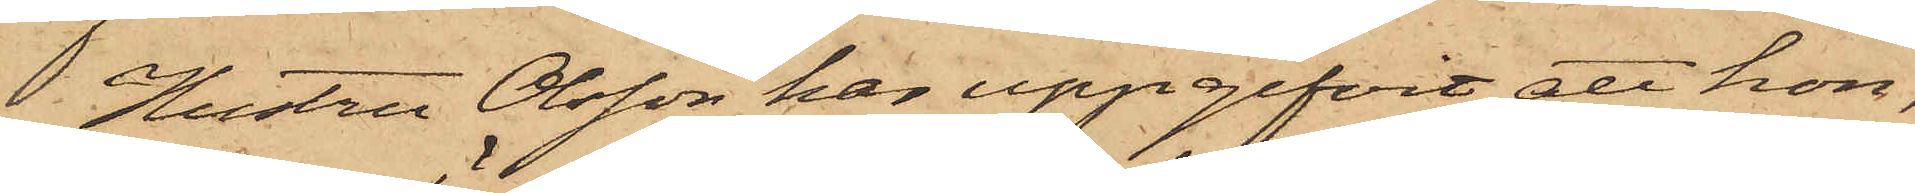Hustru Olsson har uppgifvit, att hon,
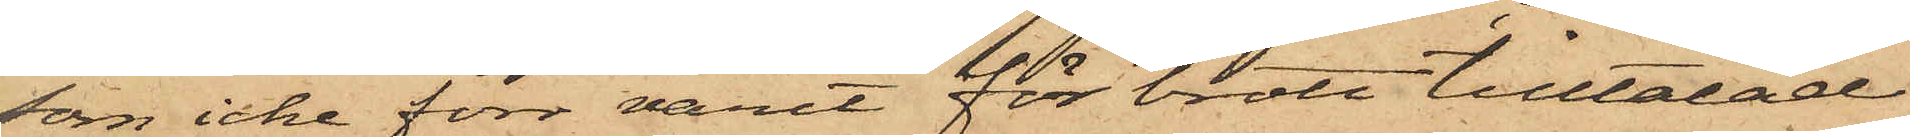som icke förr varit för brott tilltalad
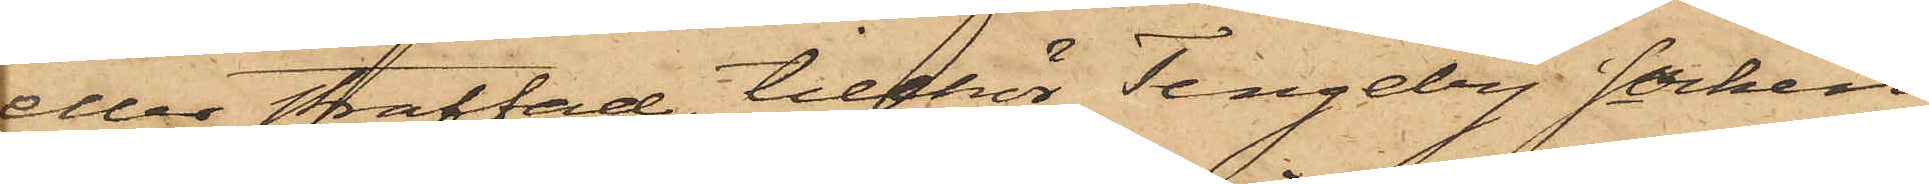eller straffad, tillhör Tengeby Socken
